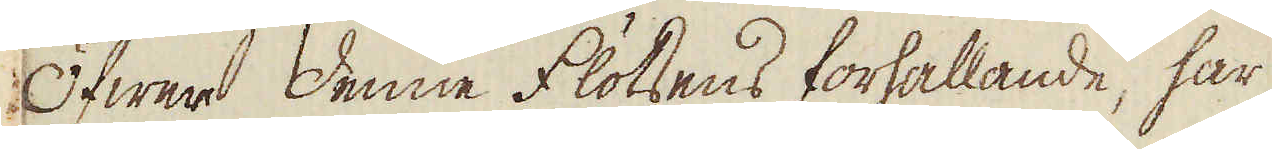Öfwer denne flötsens förhållande, har
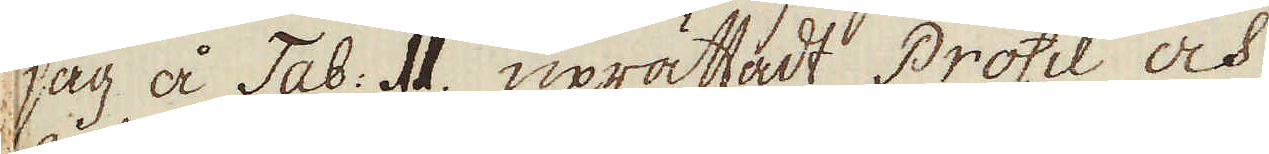jag å Tab: II. uprättadt Profil och
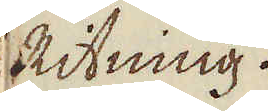Ritning.
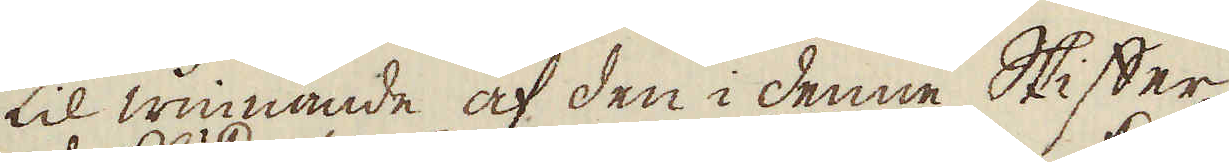Til winnande af den i denne Skiffer
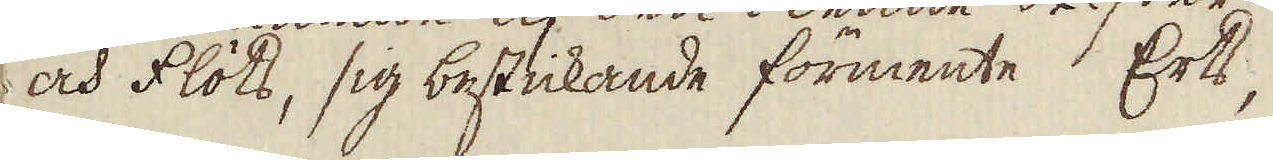och flöts, sig bestickande förmente Erts,
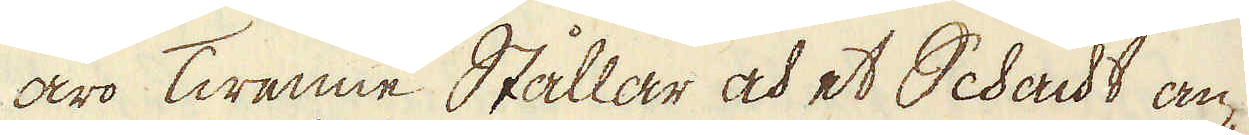äro Twenne Stållar och et Schackt an-
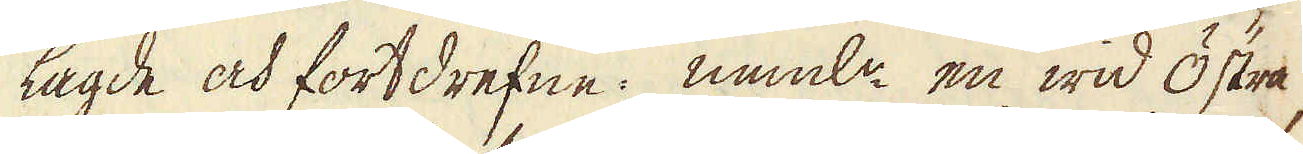lagde och fortdrefne: neml:n en wid Östra,
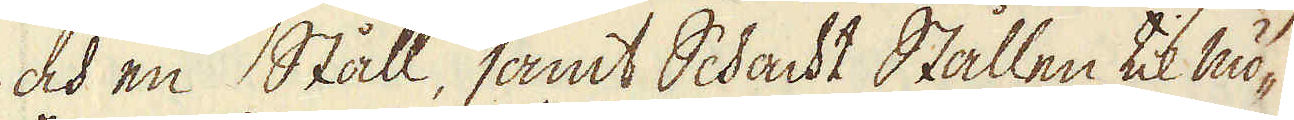och en Ståll, samt Schackt Stållen til mö-
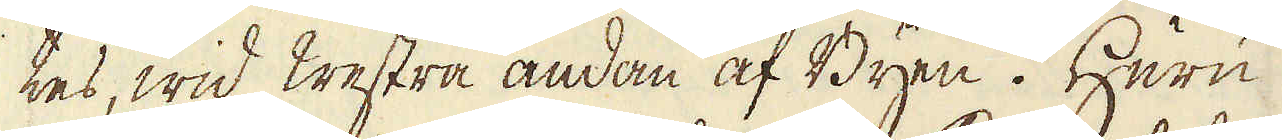tes, wid Westra ändan af Byen. Huru
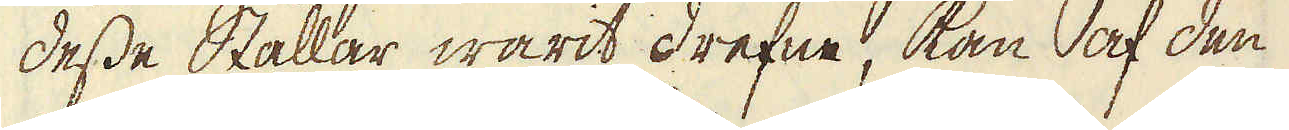desse Stållar warit drefne, kan af den
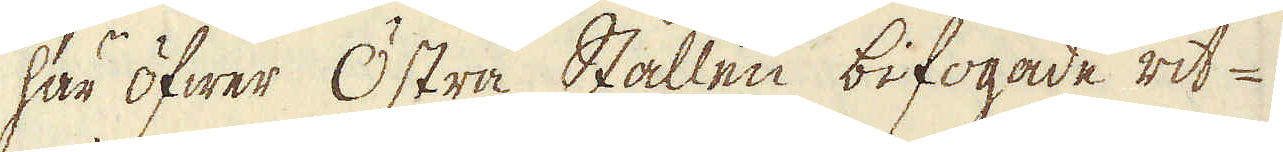här öfwer Östra Stållen bifogade rit-
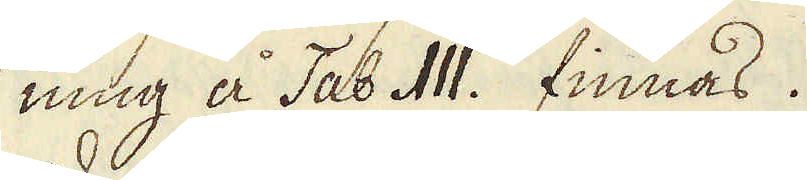ning å Tab III. finnas.
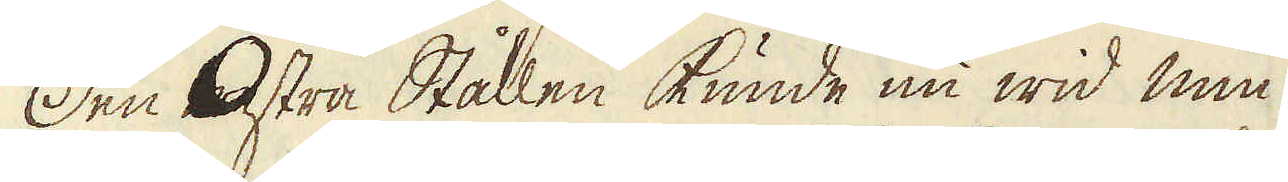Den Östra Stållen kunde nu wid min
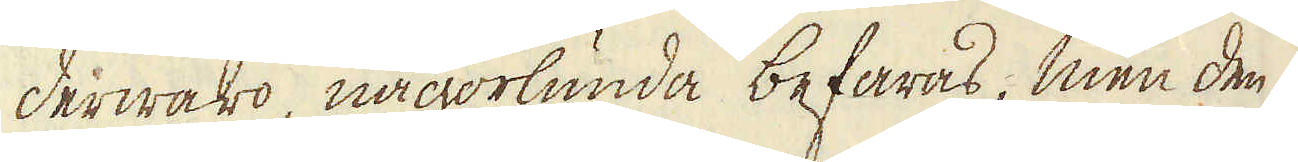derwaro någorlunda befaras, men den
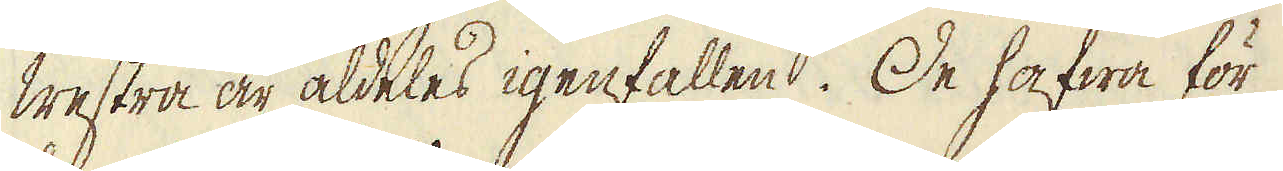Westra är aldeles igenfallen. De hafwa för
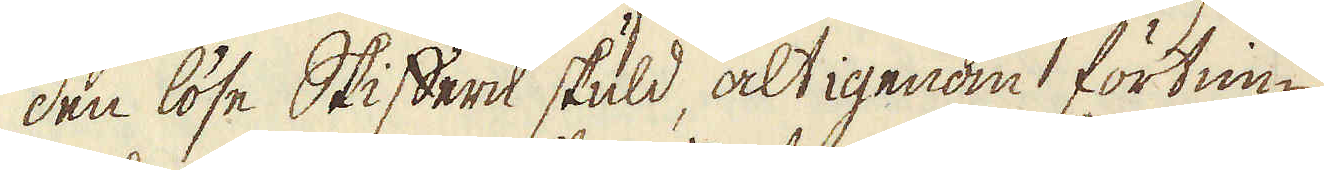den löse Stiffern skuld, alt igenom förtim-
